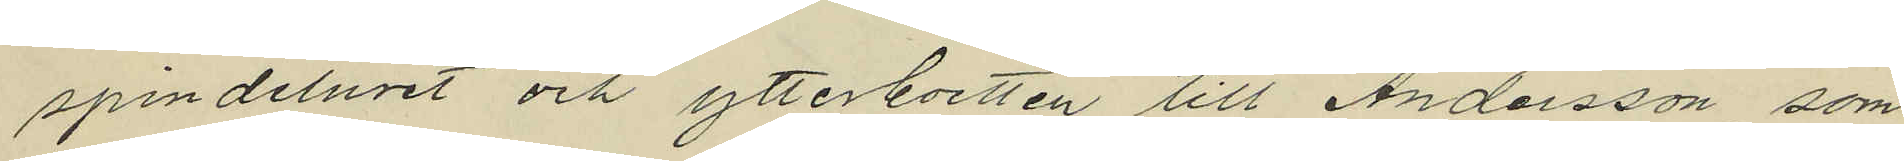spindeluret och ytterboetten till Andersson, som
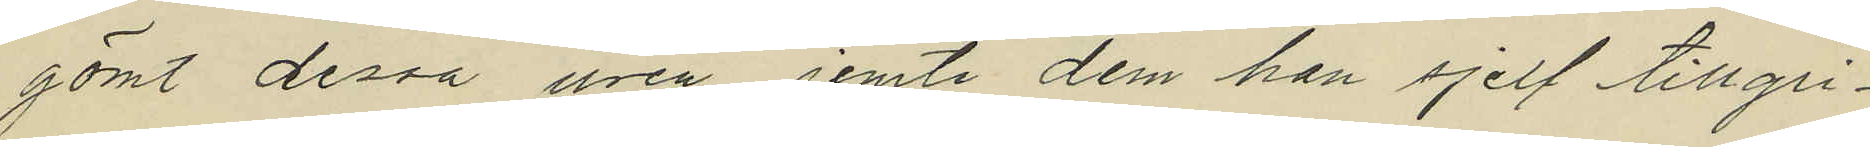gömt dessa uren jemte dem han sjelf tillgri¬
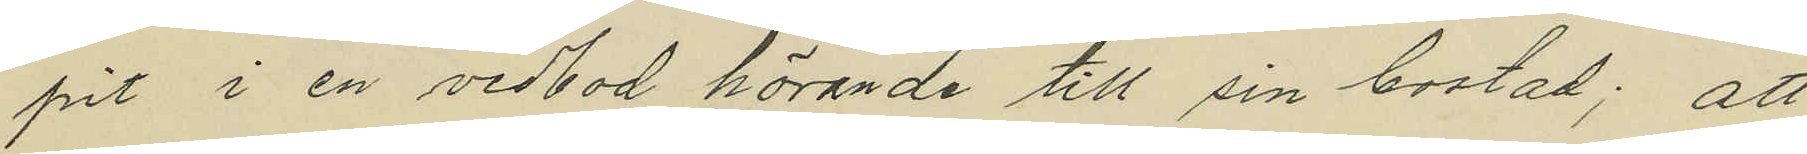pit i en vedbod hörande till sin bostad; att
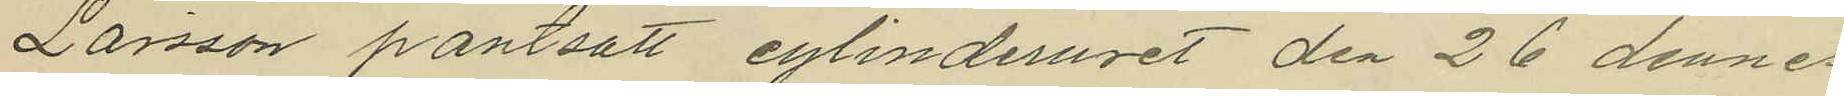Larsson pantsatt cylinderuret den 26 dennes
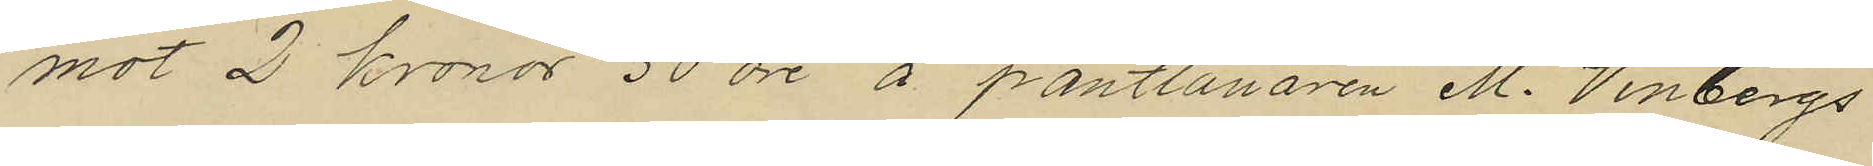mot 2 kronor 50 öre å pantlånaren M. Vinbergs
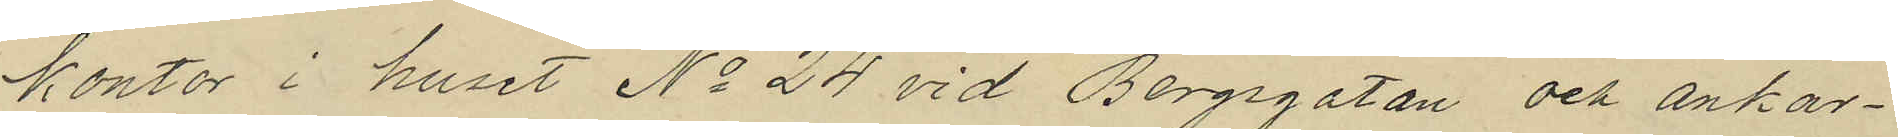kontor i huset No 24 vid Bergsgatan och ankar¬
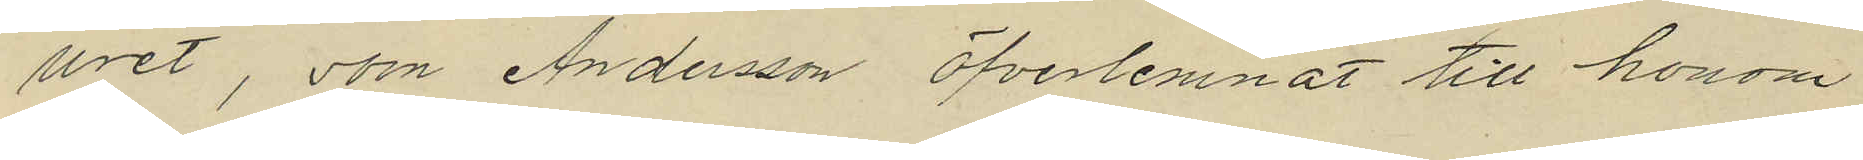uret, som Andersson öfverlemnat till honom
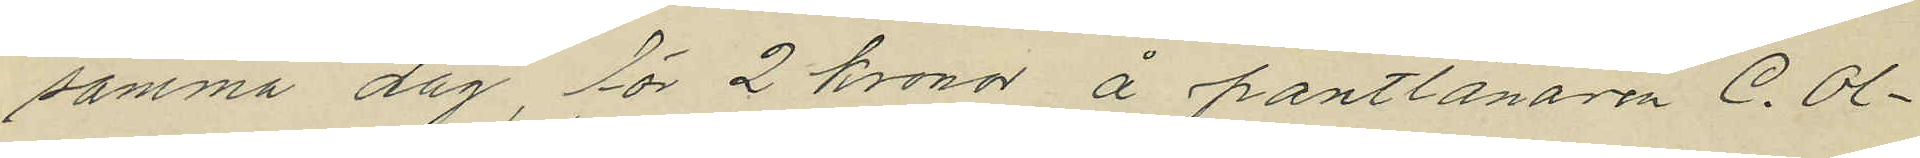samma dag, för 2 kronor å pantlånaren C. Ol¬
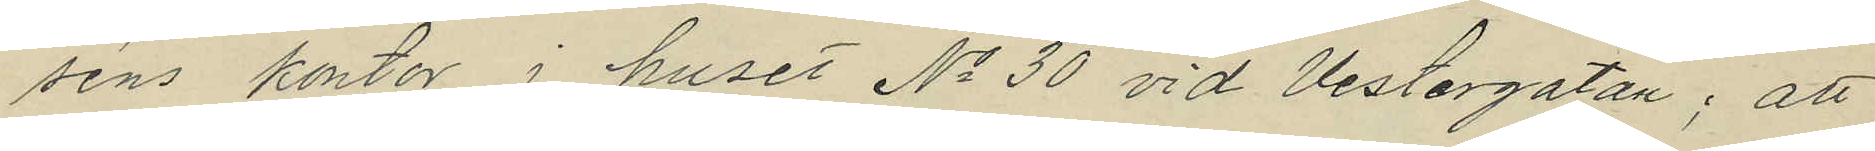séns kontor i huset No 30 vid Vestergatan; att
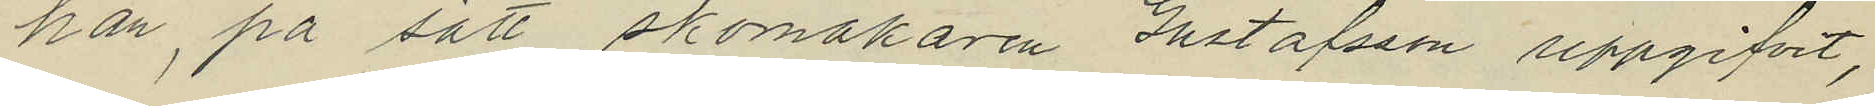han, på sätt skomakaren Gustafsson uppgifvit,
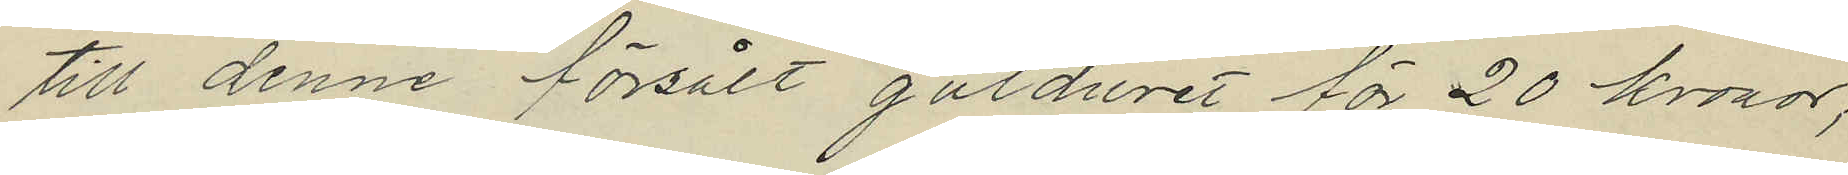till denne försålt gulduret för 20 kronor;
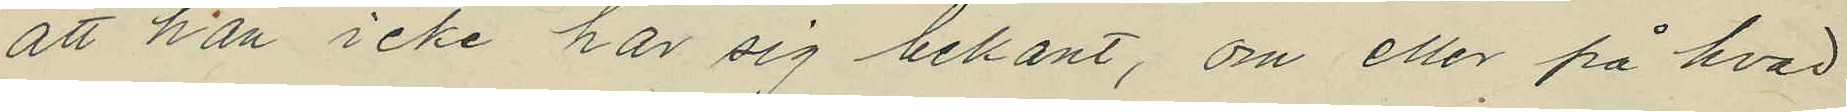att han icke har sig bekant, om eller på hvad
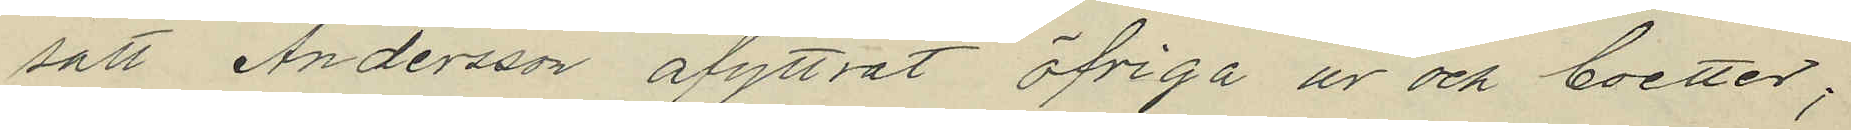sätt Andersson afyttrat öfriga ur och boetter;
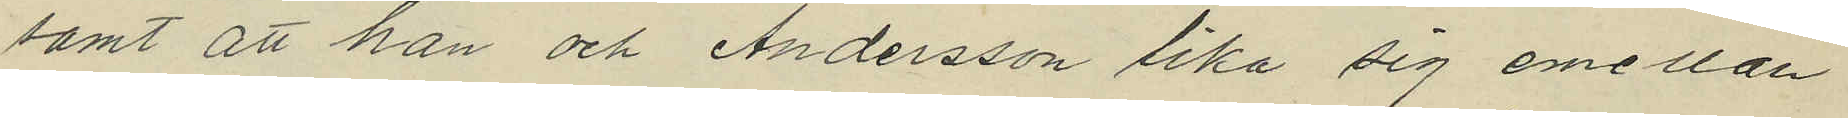samt att han och Andersson lika sig emellan
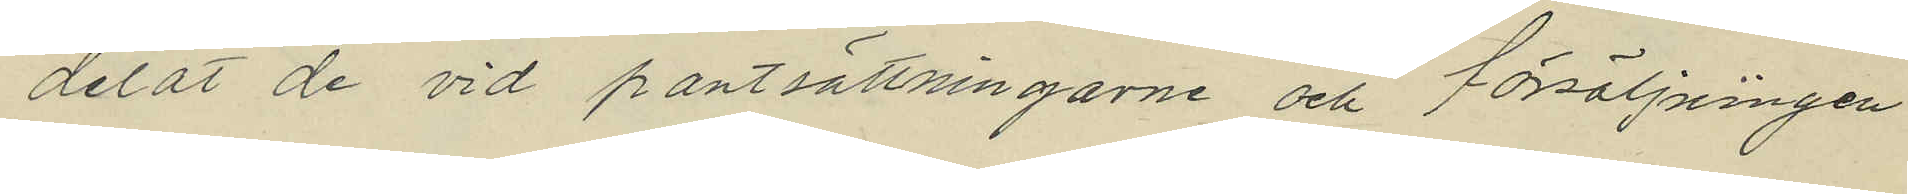delat de vid pantsättningarne och försäljningen
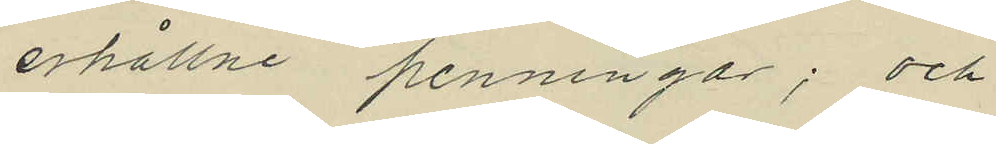erhållne penningar; och
